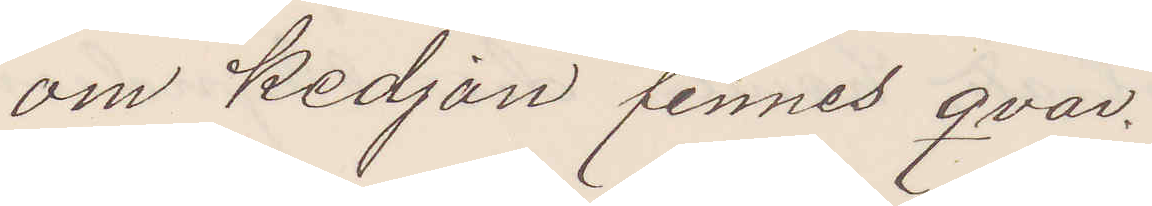om kedjan finnes qvar.
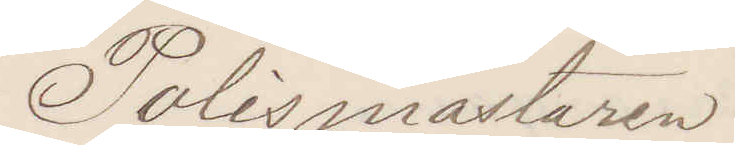Polismästaren
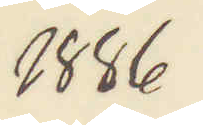1886
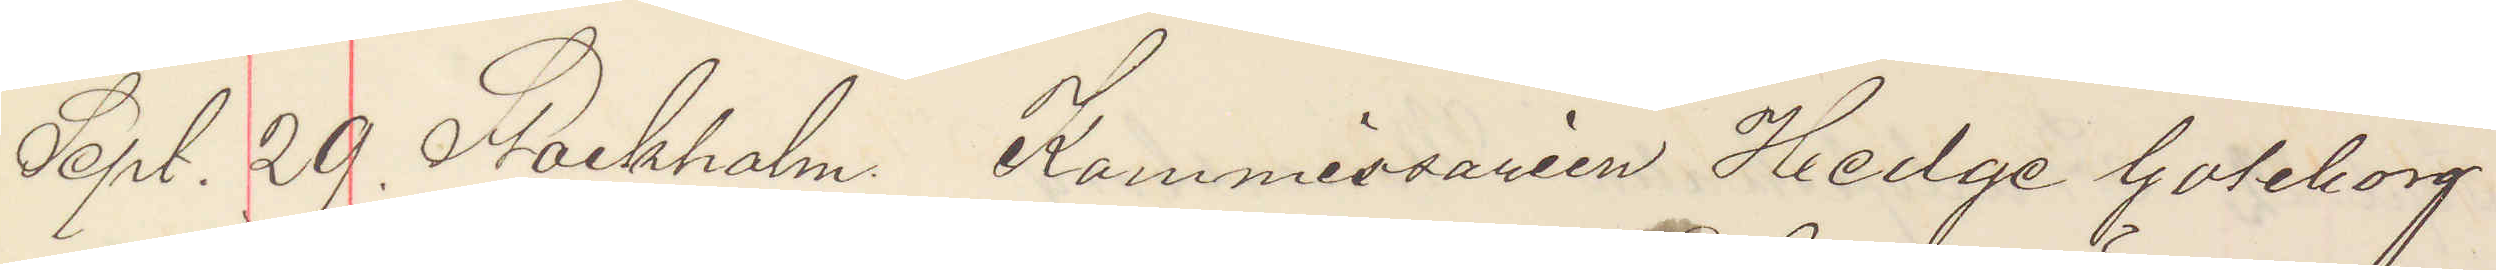Sept. 29. Stockholm Kommissarien Hedge Göteborg
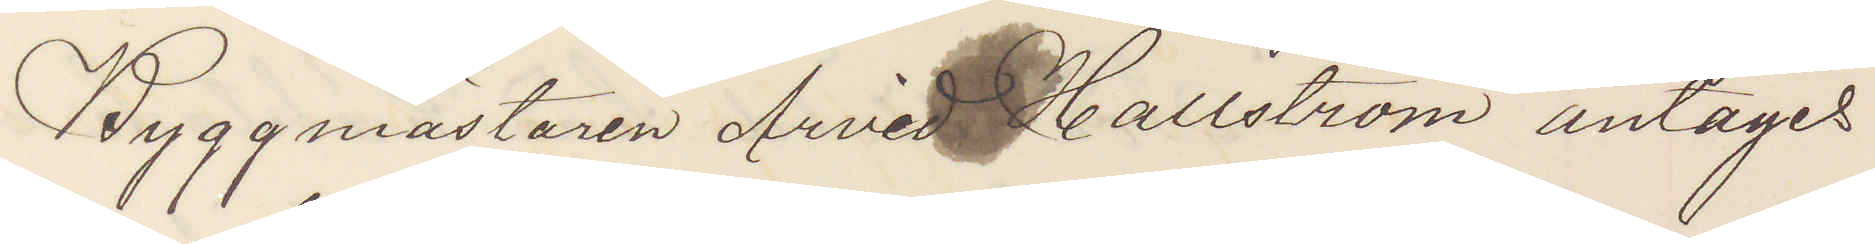Byggmästaren Arvid Hallström antages
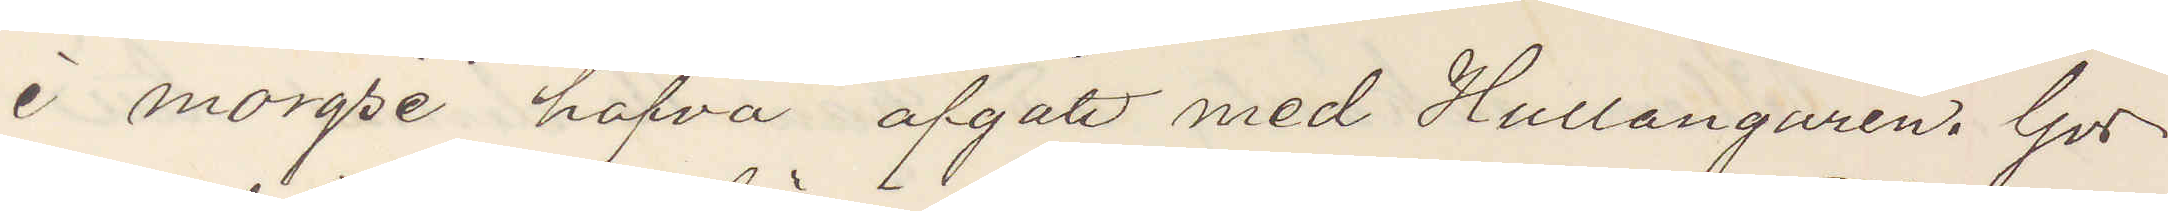i morse hafva afgått med Hullangaren. Gör
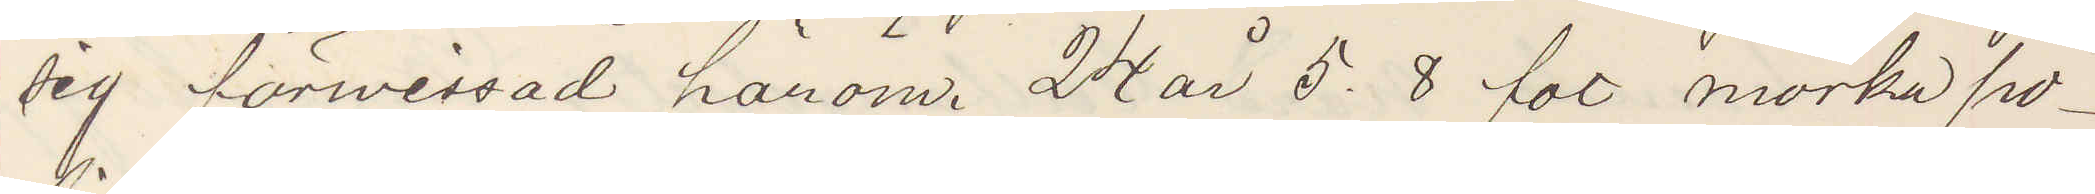sig förvissad härom. 24 år 5.8 fot mörka po¬
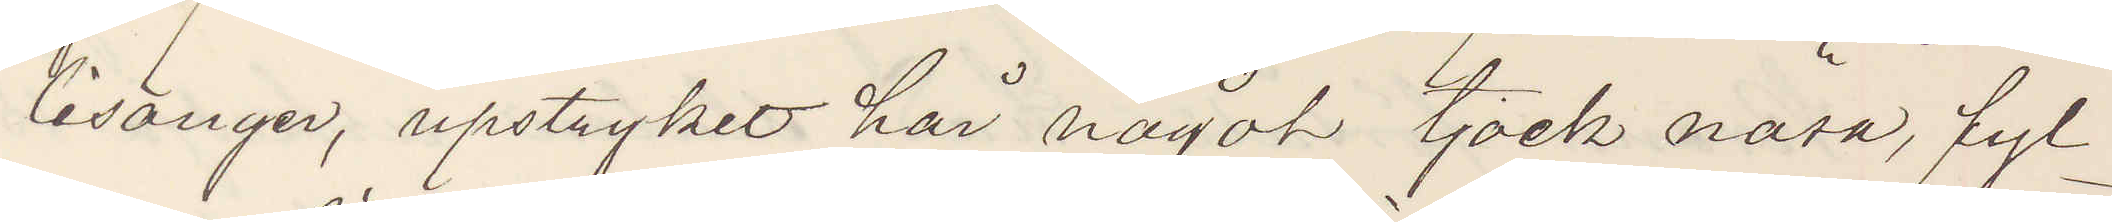lisånger, upstryket här något tjock näsa, fyl¬
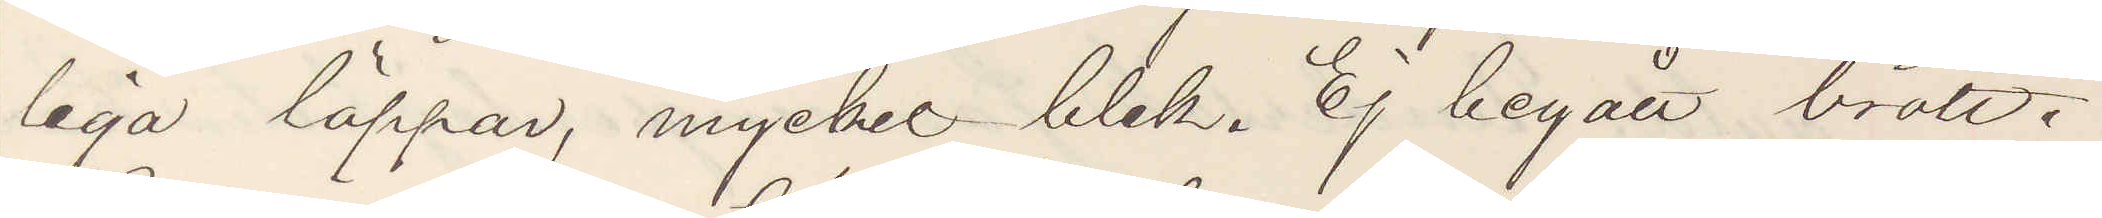liga läppar, myckel blek. Ej begått brott.
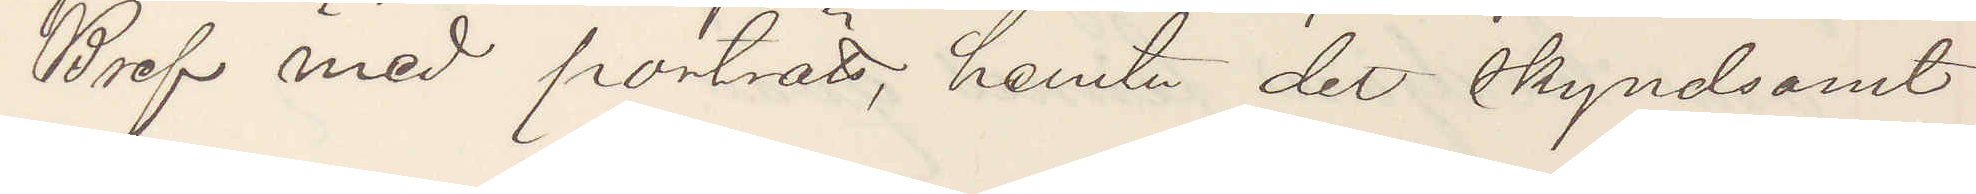Bref med porträtt, hemta der skyndsamt
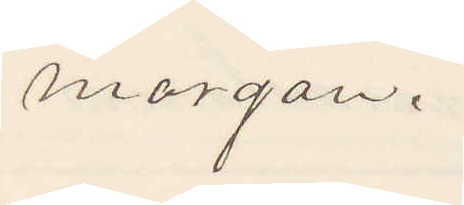morgon.
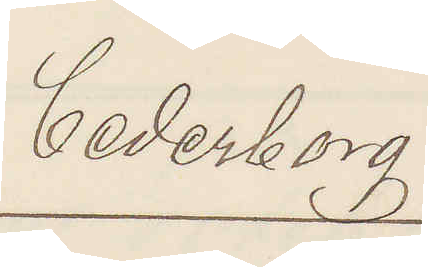Cederborg.
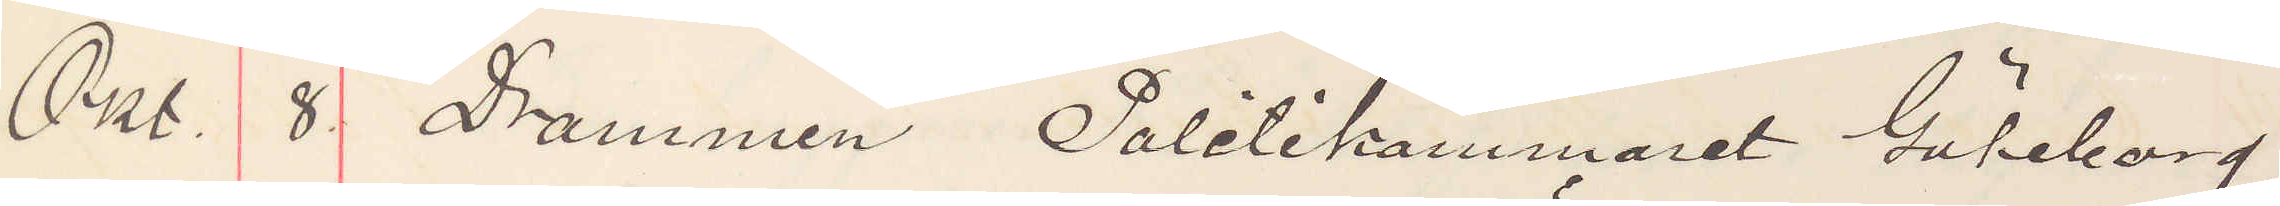Okt. 8. Drammen Politikammaret Göteborg.
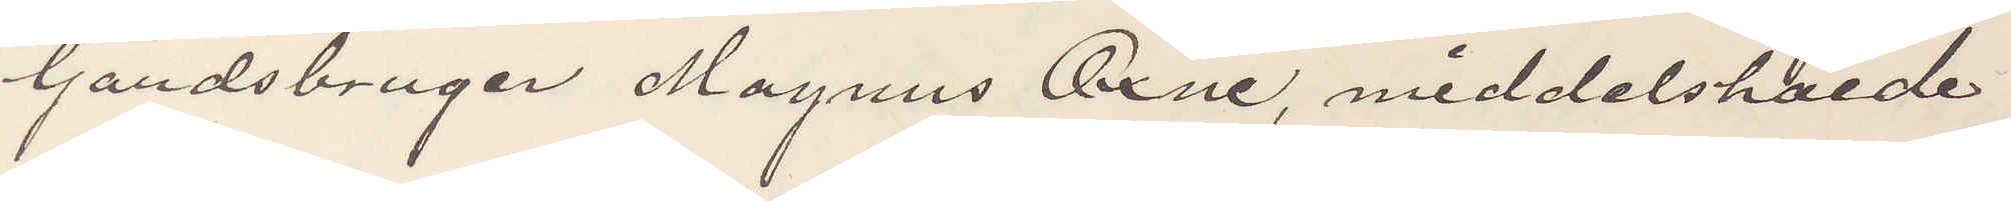Gandsbruger Magnus Öxne, meddelshöide
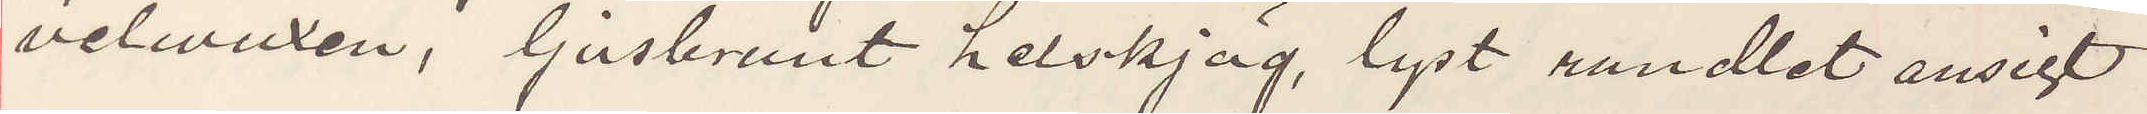velwuxen, ljusbrunt helskjäg, lyst rundlet ansigt
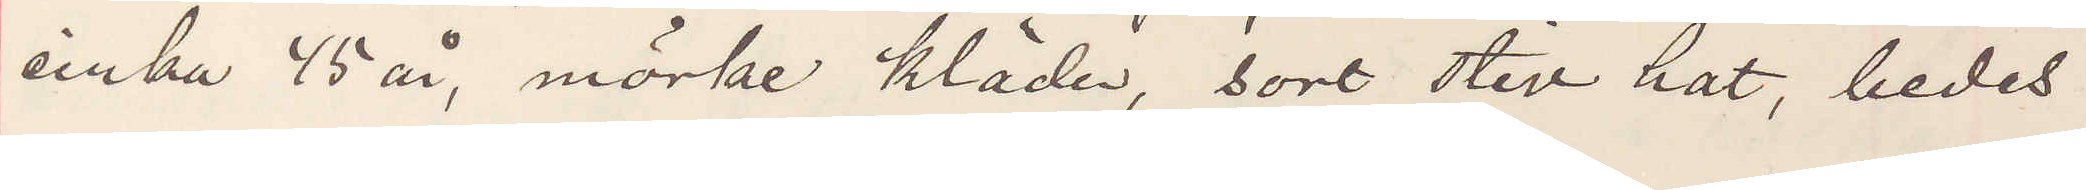cirka 45 år, mörke kläder, sort stiv hat, bedes
